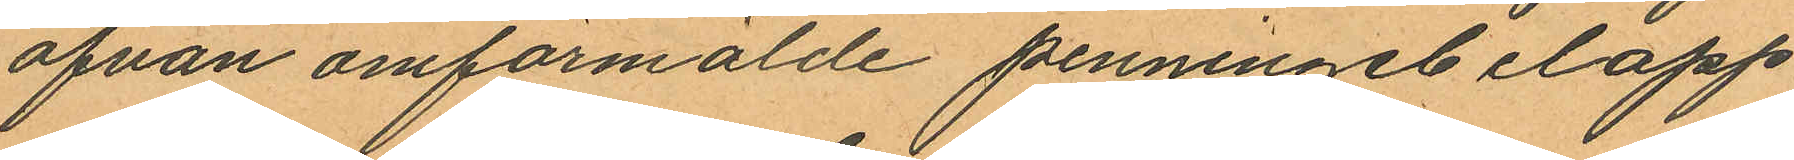ofvan omförmälde penningebelopp
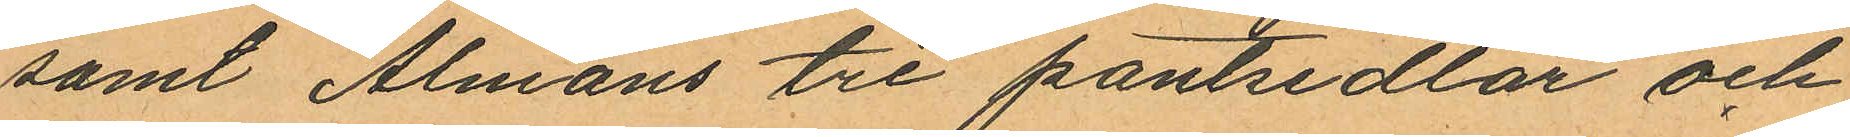samt Almans tre pantsedlar och
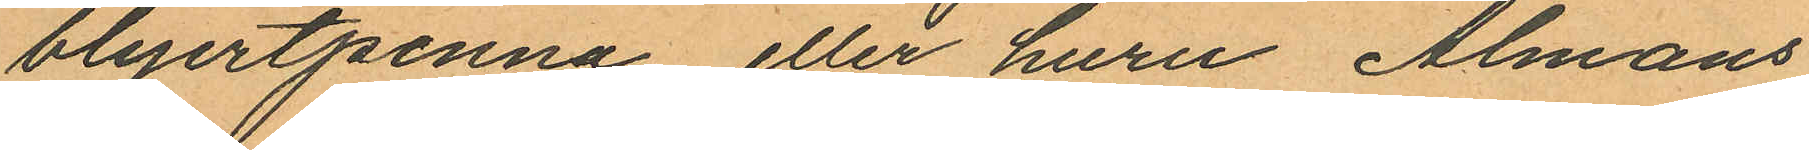blyertpenna eller huru Almans
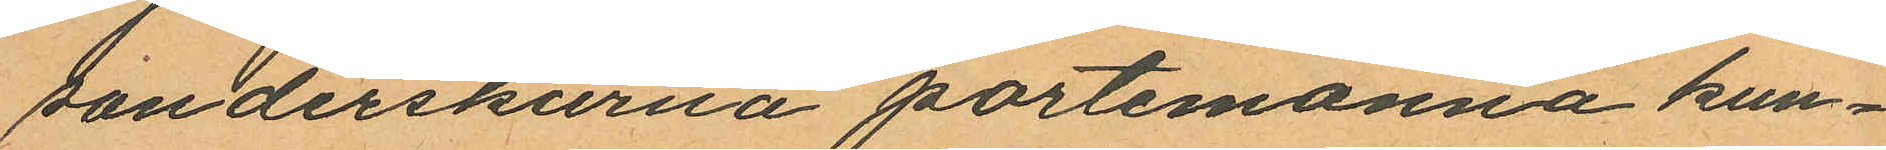sonderskurna portemonnä kun¬
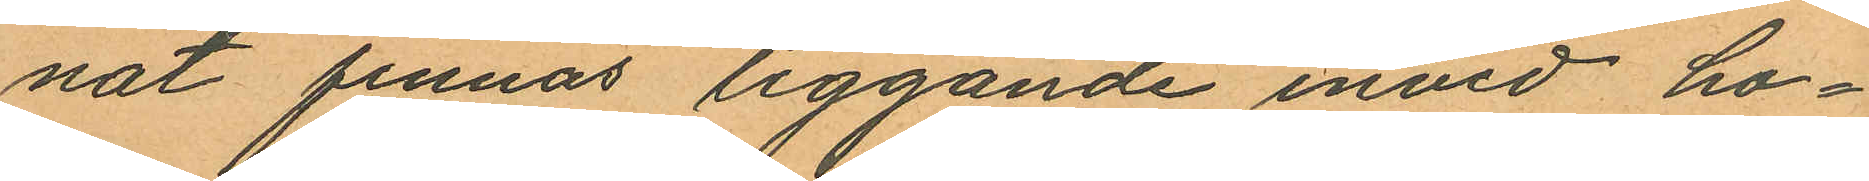nat finnas liggande invid ho¬
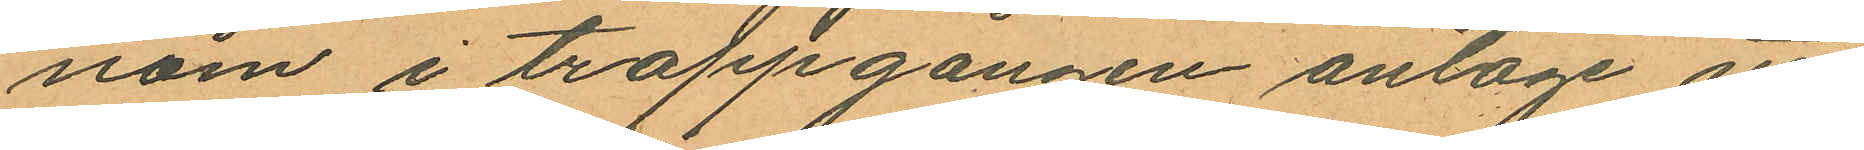nom i trappgången antoge att
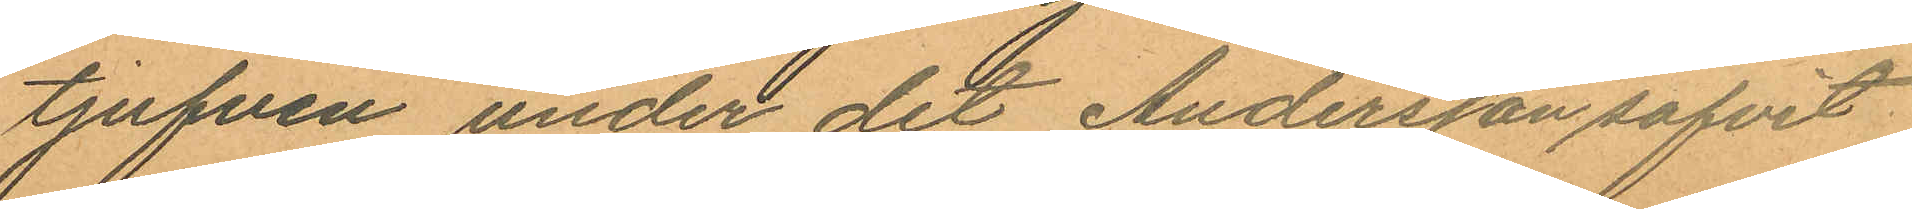tjufven under det Andersson sofvit
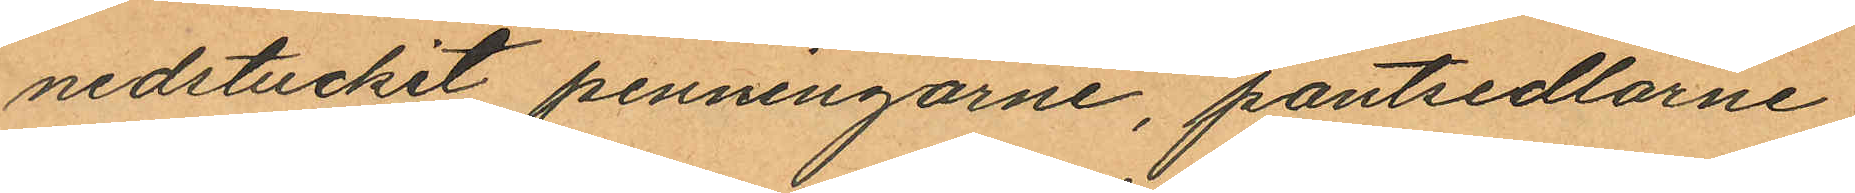nedstuckit penningarne, pantsedlarne
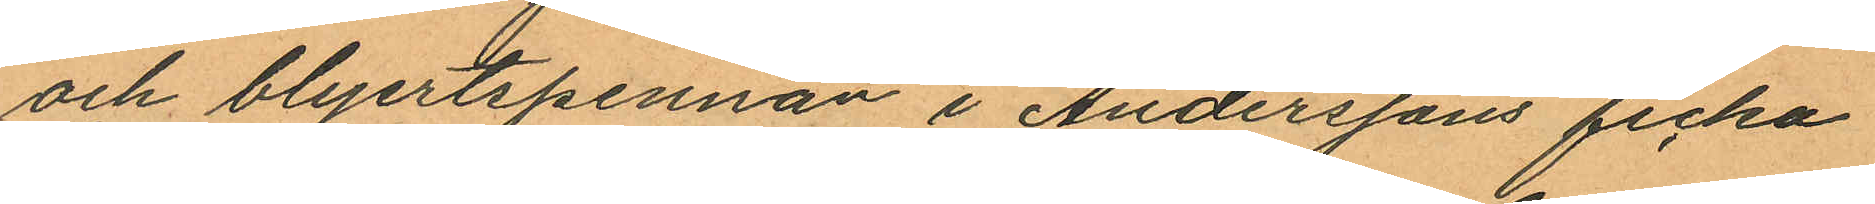och blyertspennan i Anderssons ficka
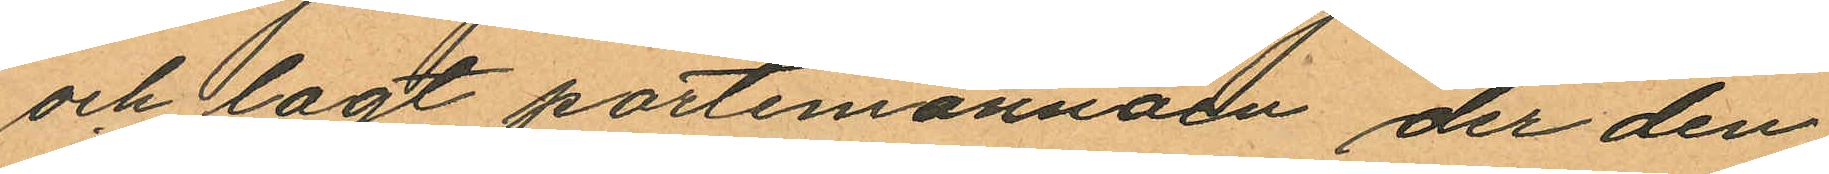och lagt portemonnäen der den
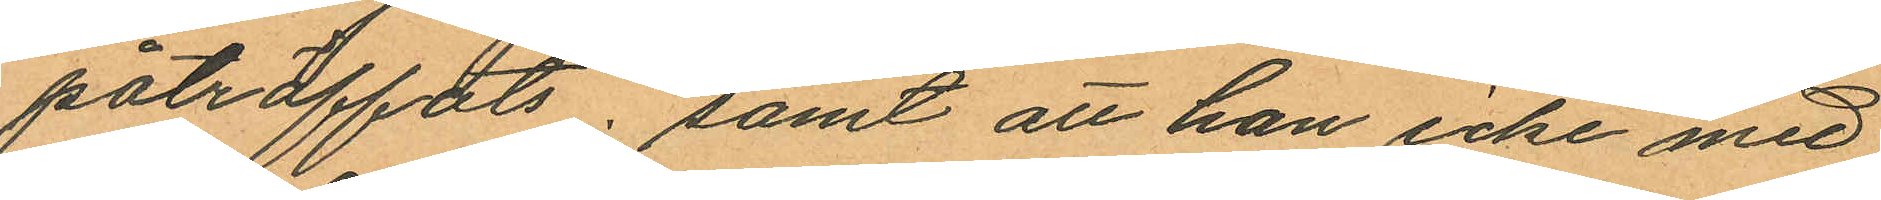påträffats; samt att han icke med
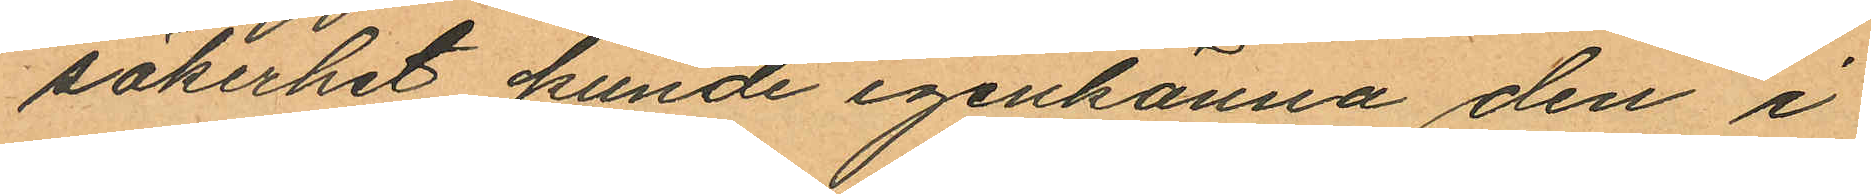säkerhet kunde igenkänna den i
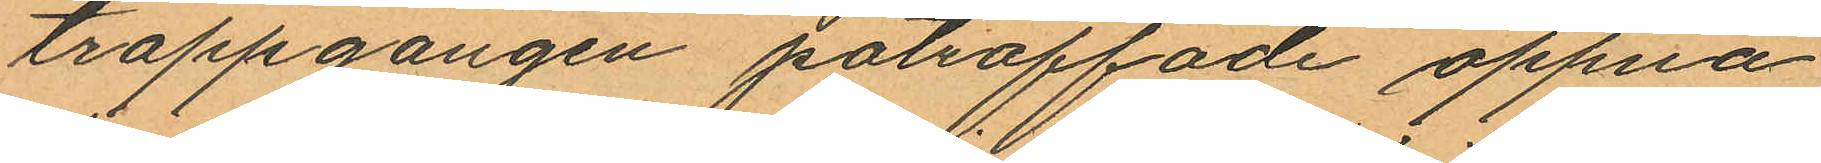trappgången påträffade öppna
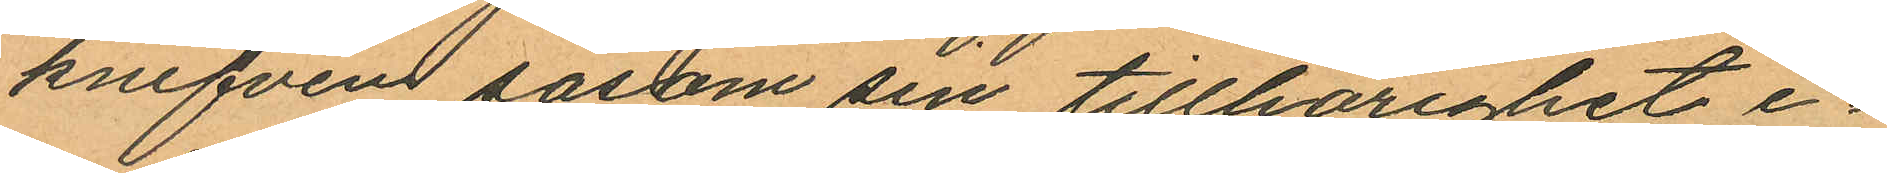krnifven såsom sin tillhörighet e¬
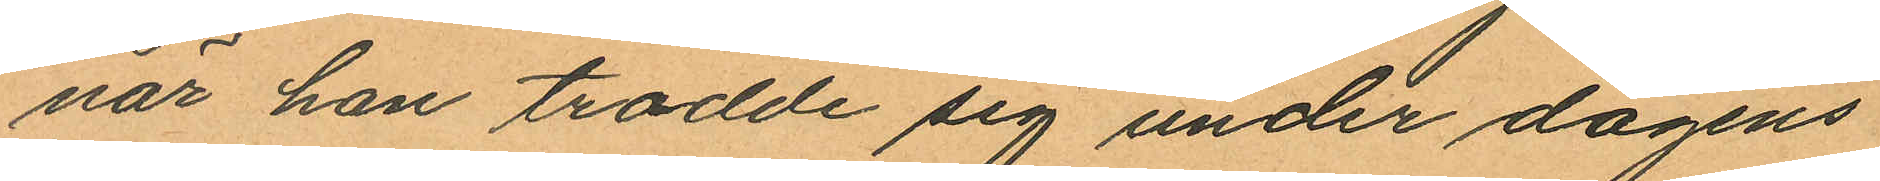när han trodde sig under dagens
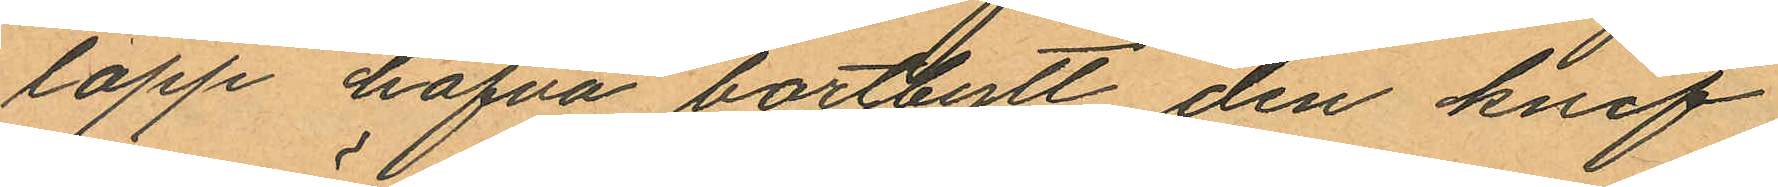lopp hafva bortbytt den knif
